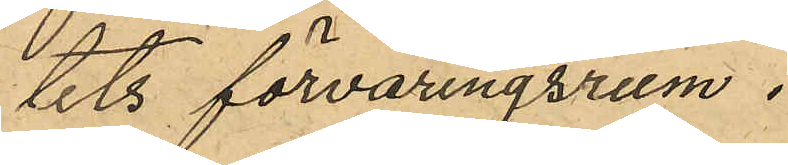tets förvaringsrum.
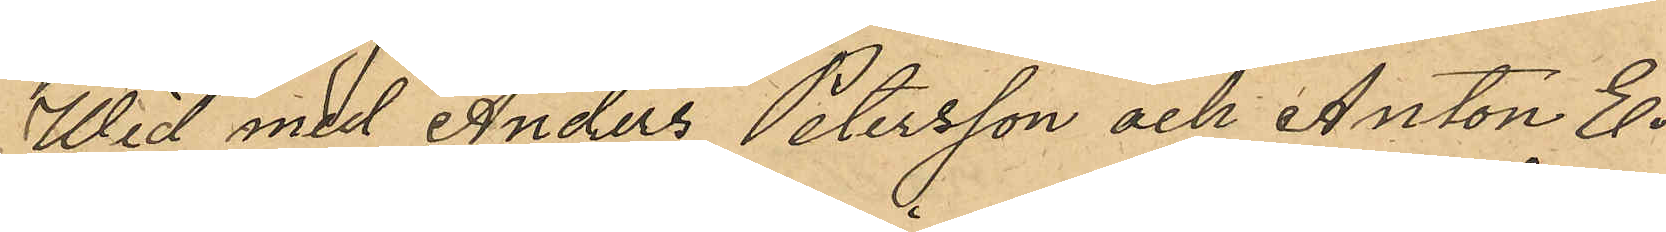Wid med Anders Petersson och Anton E¬
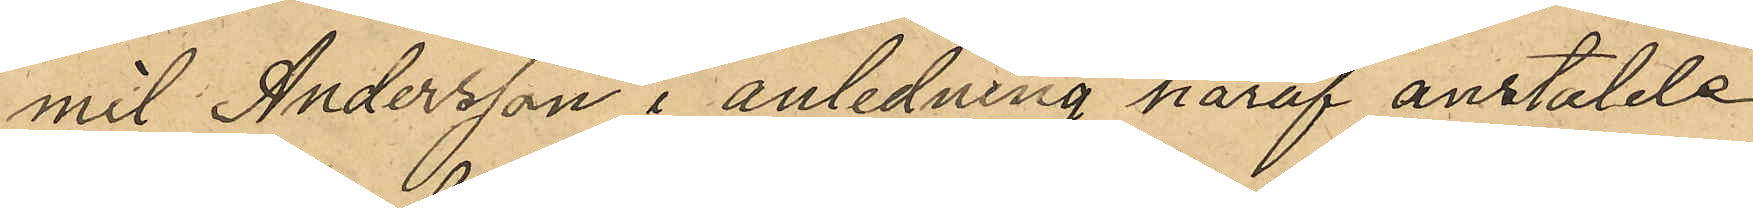mit Andersson i anledning häraf anstälde
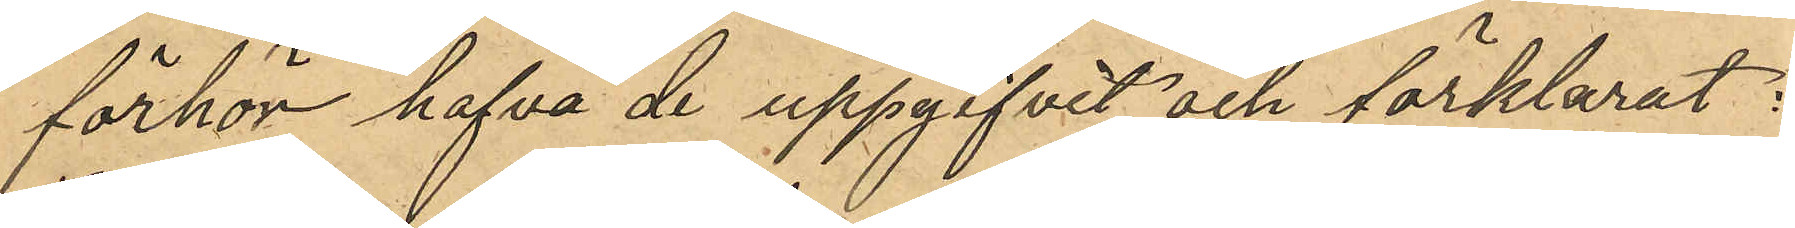förhör hafva de uppgifvit och förklarat:
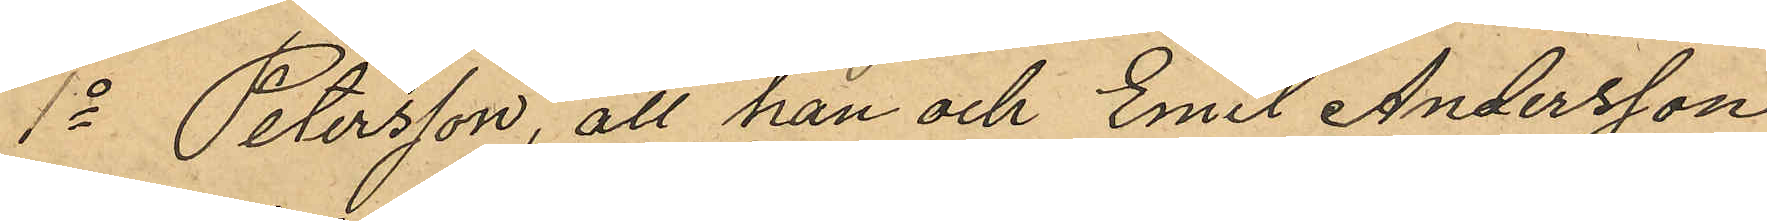1o Petersson, att han och Emil Andersson
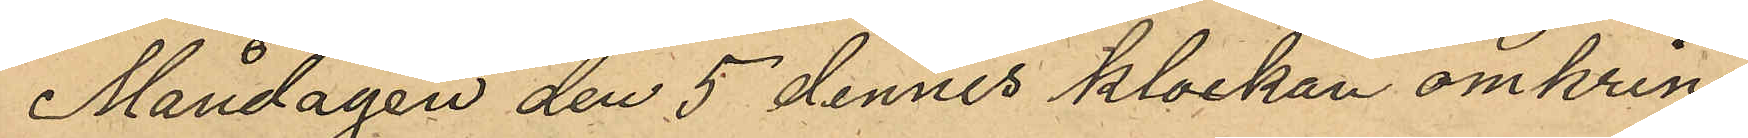Måndagen den 5 dennes klockan omkring
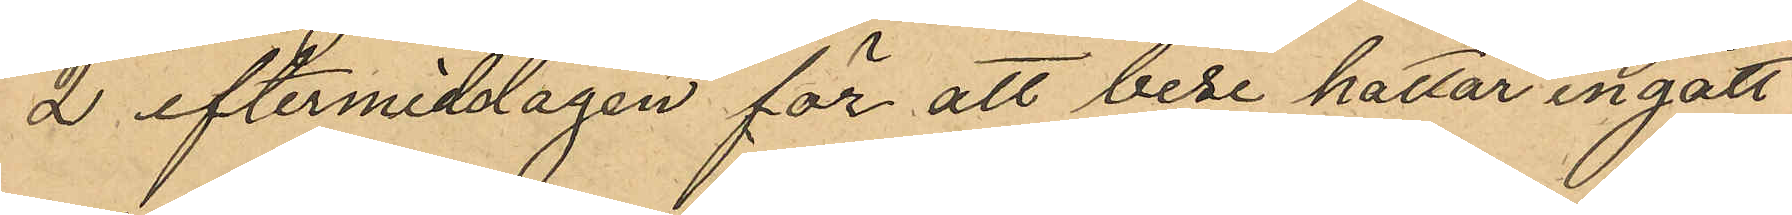2 eftermiddagen för att bese hattar ingått
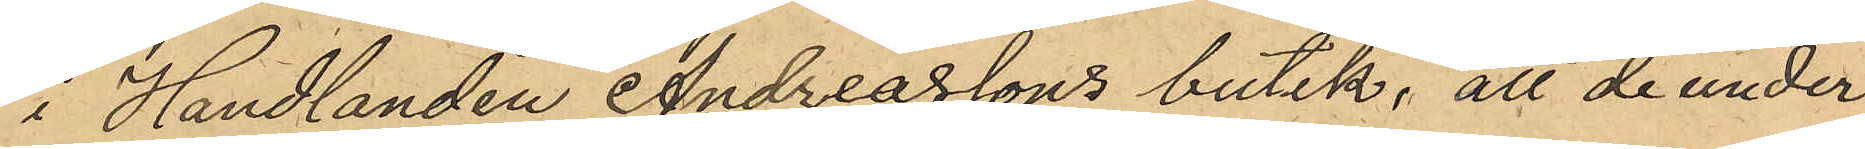i Handlanden Andreasssons butik, att de under
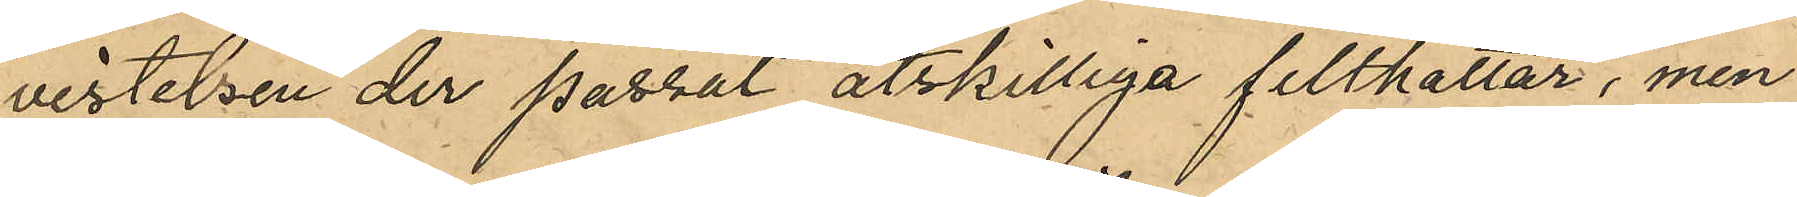vistelsen der passat åtskilliga filthattar, men
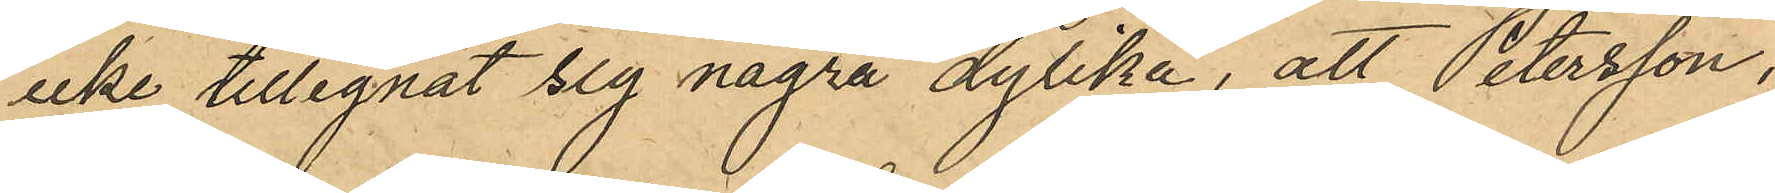icke tillegnat sig några dylika; att Petersson,
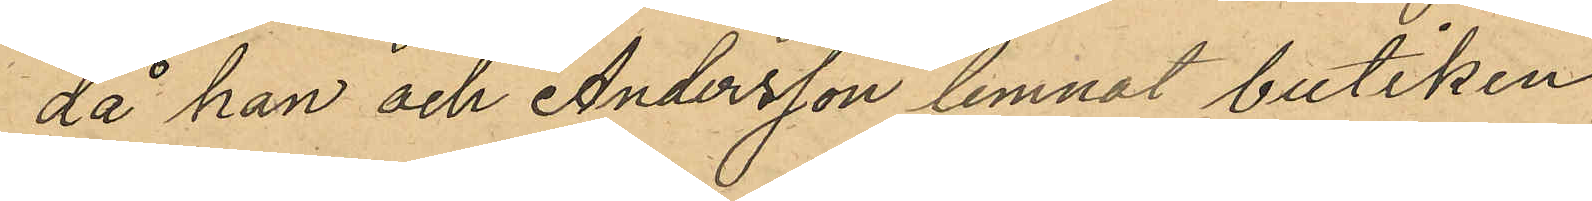då han och Andersson lemnat butiken
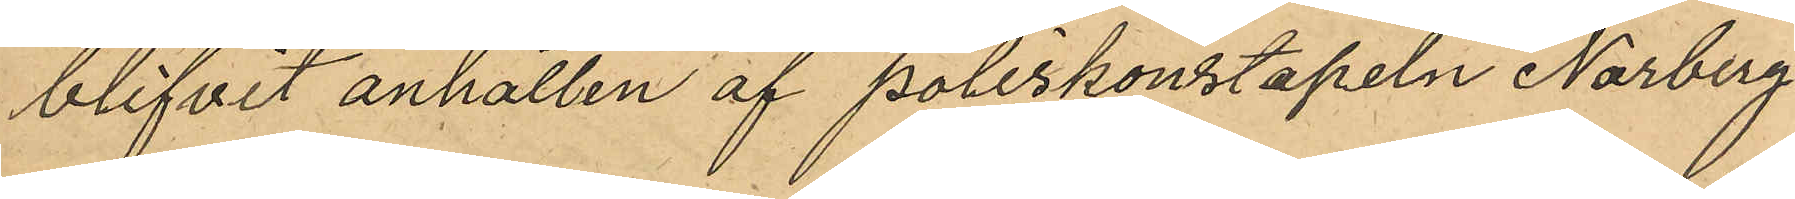blifvit anhållen af Poliskonstapeln Norberg
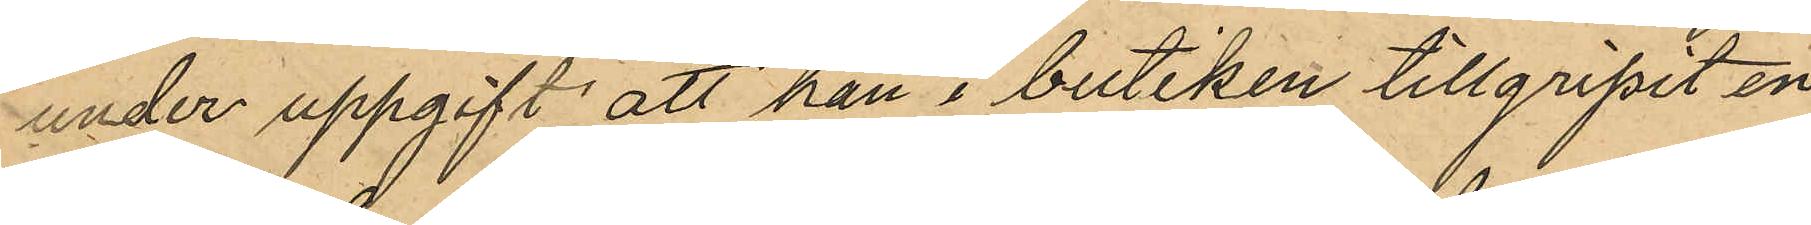under uppgift att han i butiken tillgripit en
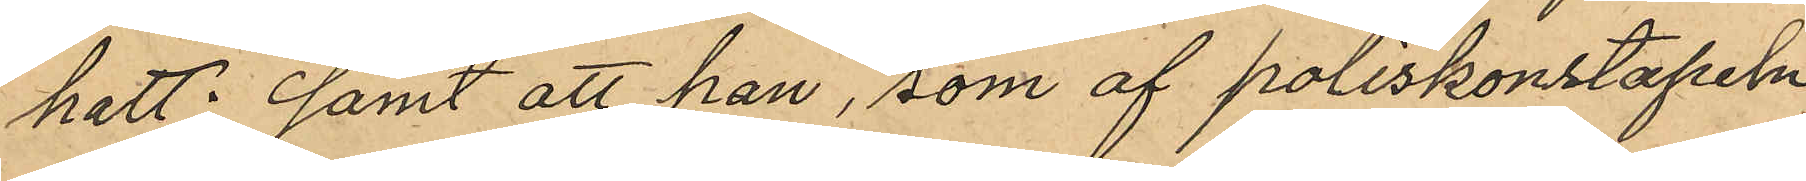hatt; Samt att han, som af poliskonstapeln
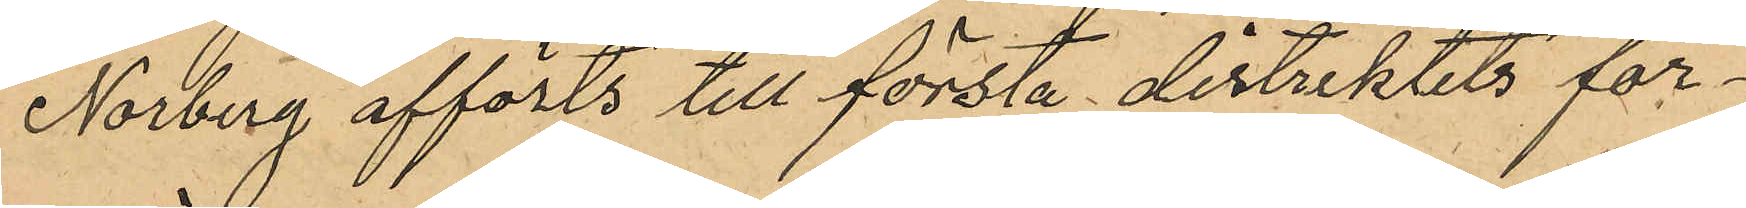Norberg afförts till första dirtriktets för¬
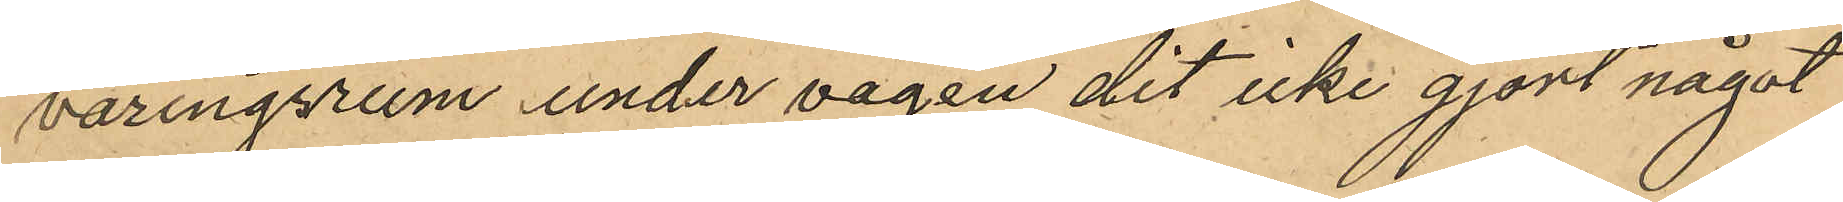varingsrum under vägen dit icke gjort något
